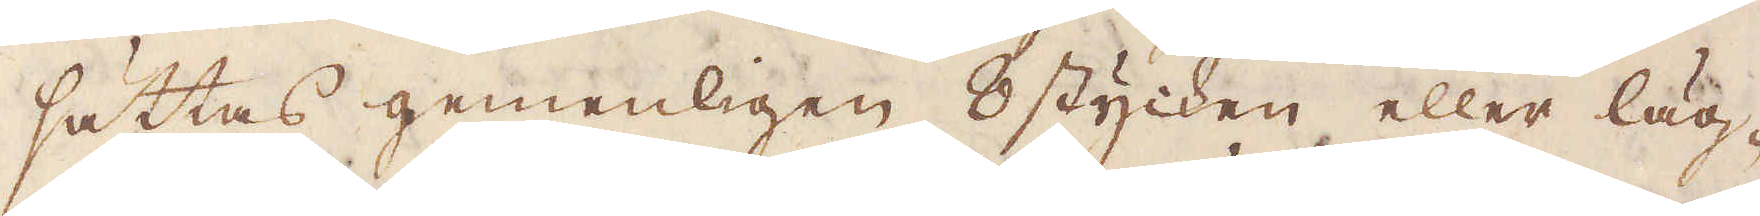sättas gemenligen 8 stycken eller läg-
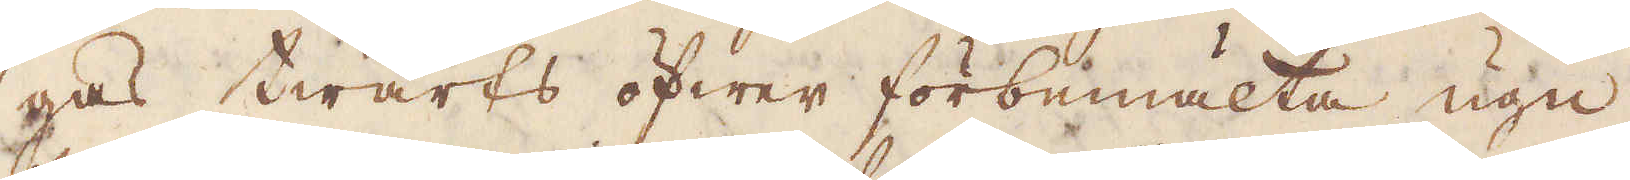gas twärts öfwer förbemälta ugn
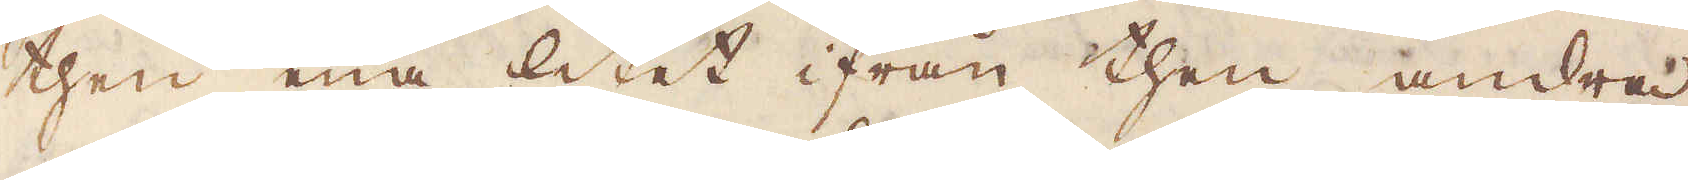then ena litet ifrån then andra
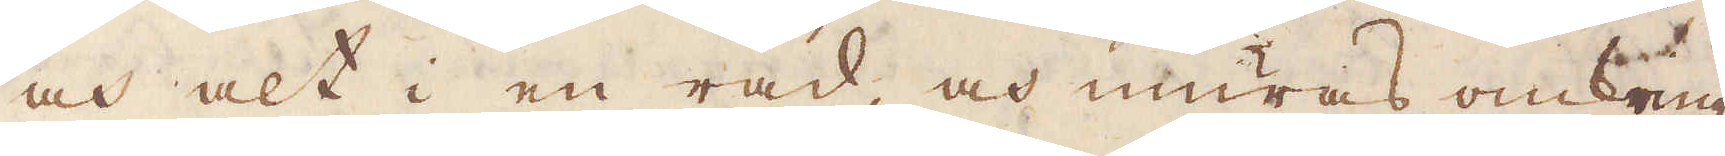och alt i en rad, och muras omkring
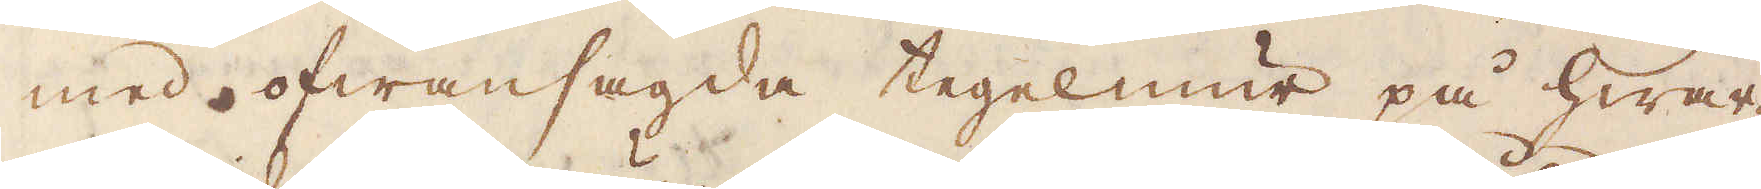med ofwansagda tegelmur på hwar-
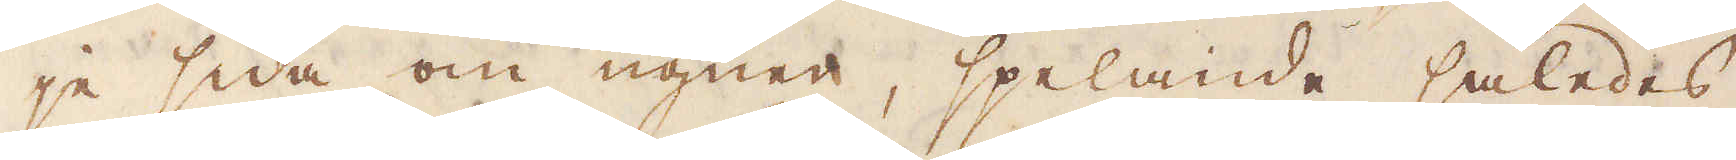je sida om ugnen, spelande således
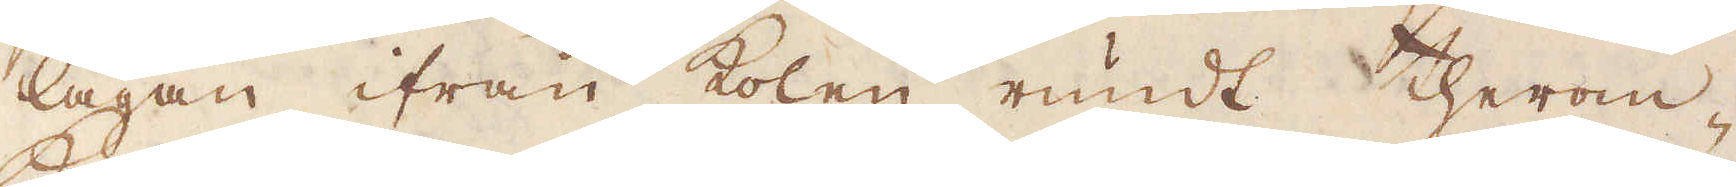lågan ifrån kolen rundt therom-
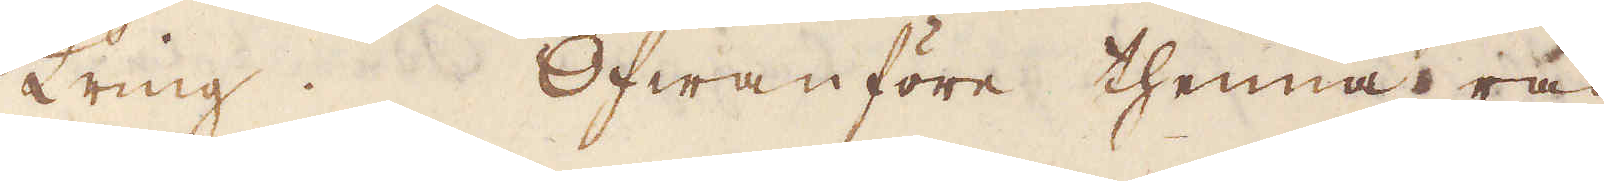kring. Ofwanföre thenna rad.
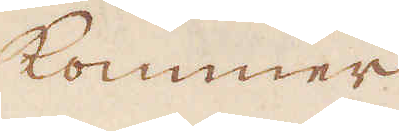kommer
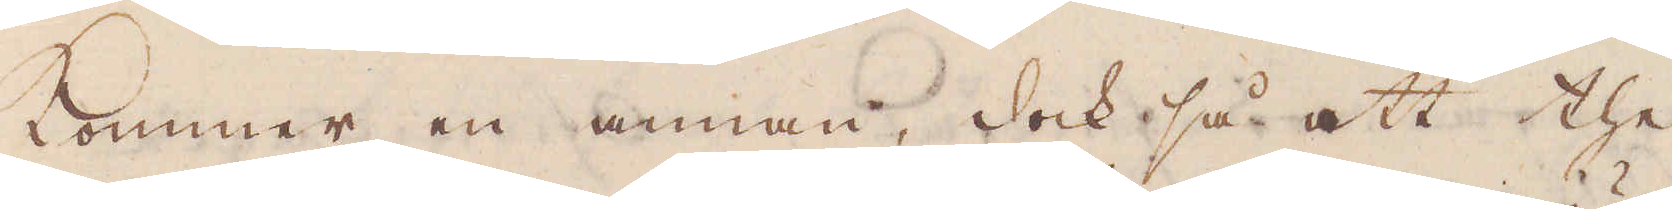kommer en annan, dock så att the
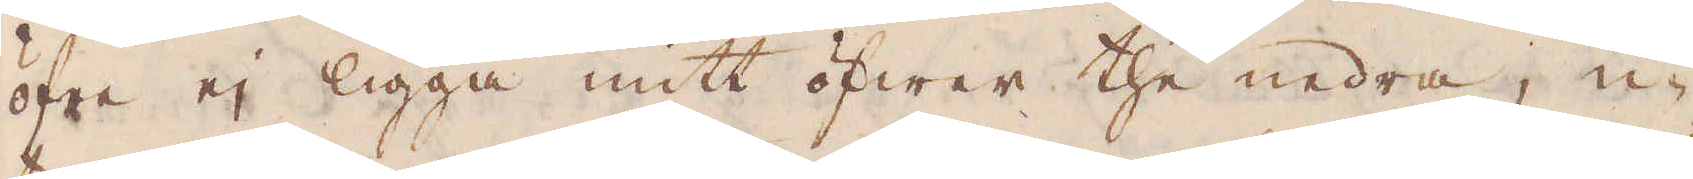öfre ej ligga mitt öfwer the nedra, u-
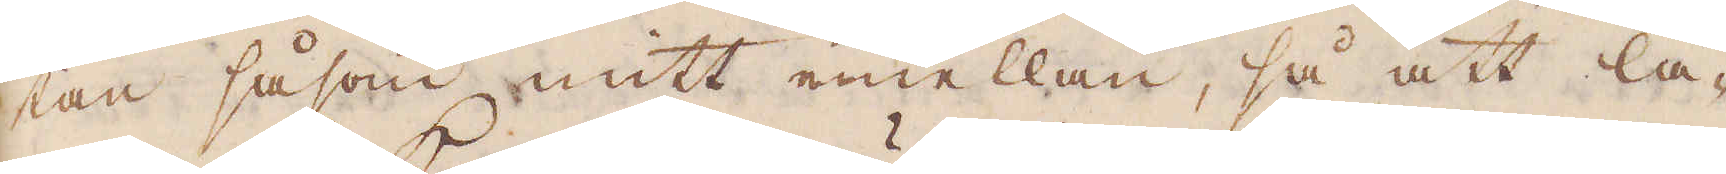tan såsom mitt emellan, så att lå-
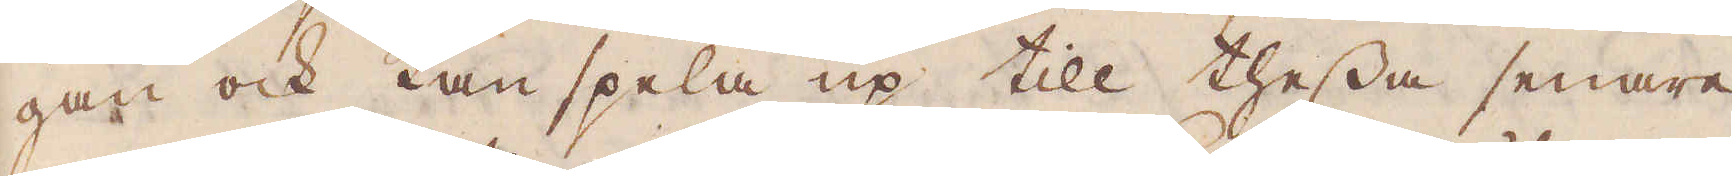gan ock kan spela up till thessa senare,
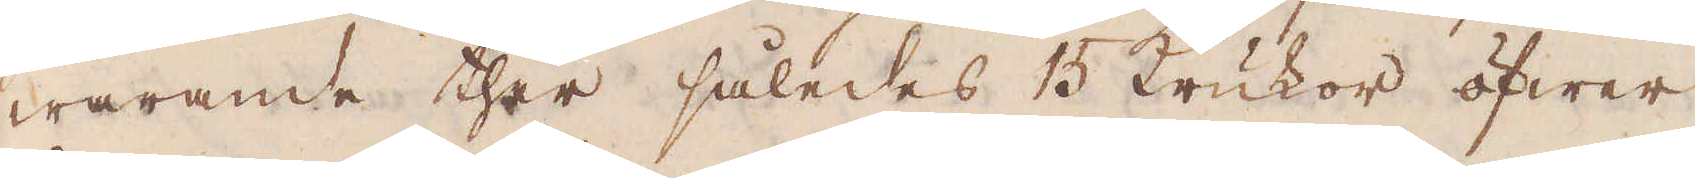warande ther således 15 krukor öfwer
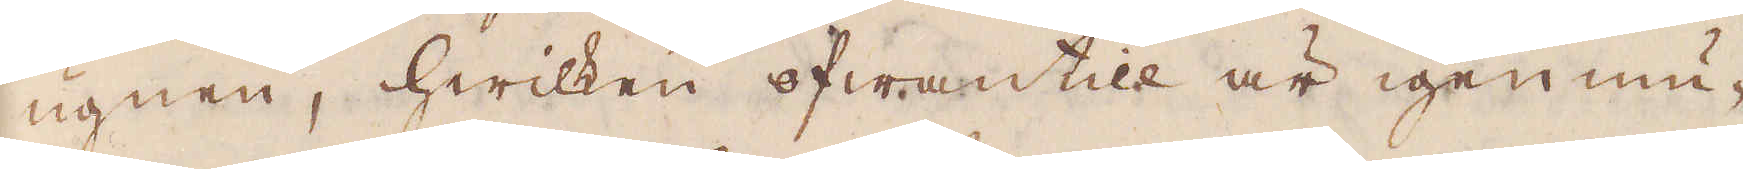ugnen, hwilken ofwantill är igen mu-
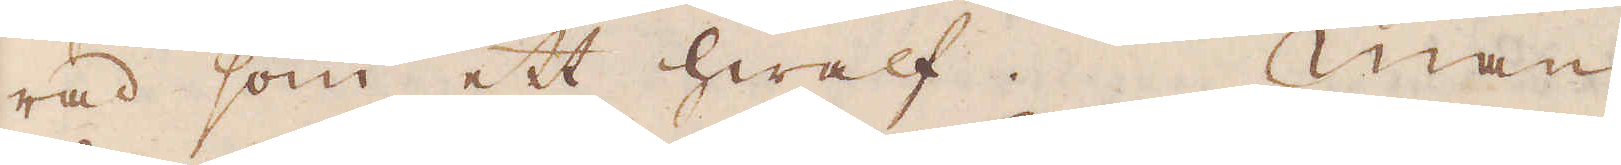rad som ett hwalf. Man
